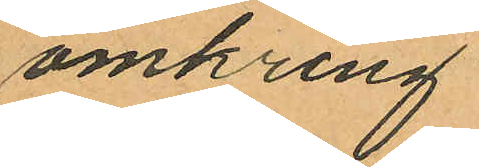omkring
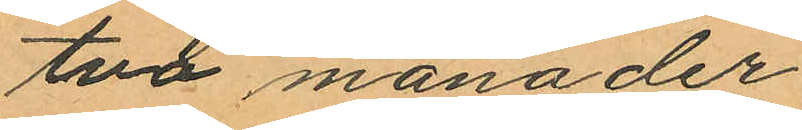två månader
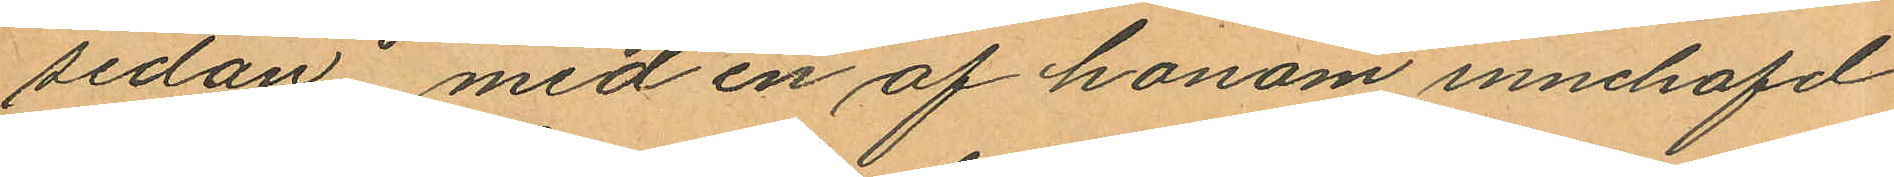sedan med en af honom innehafd
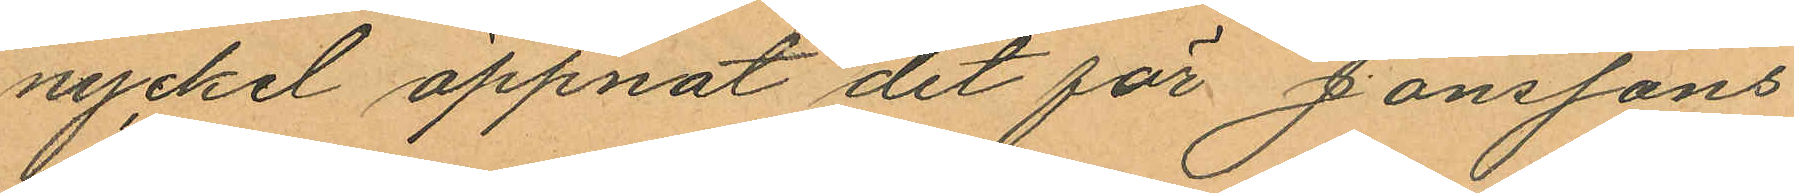nyckel öppnat det för Jönssons
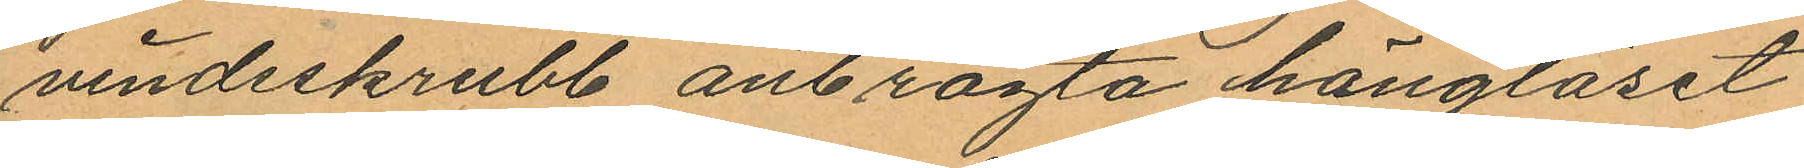vindsskrubb anbragta hänglåset
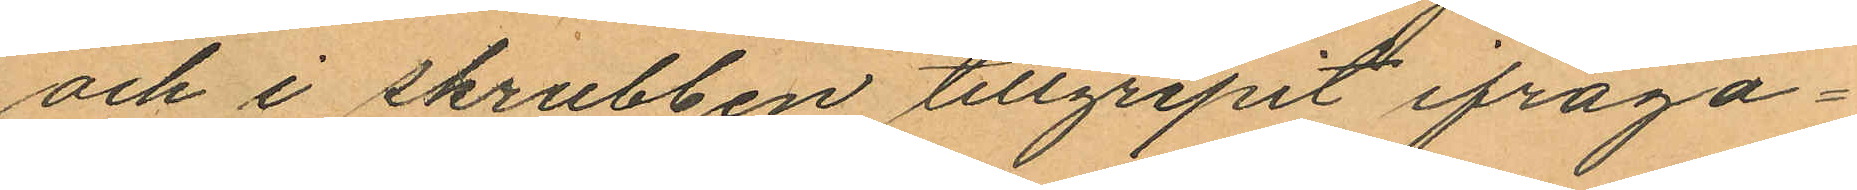och i skrubben tillgripit ifråga¬
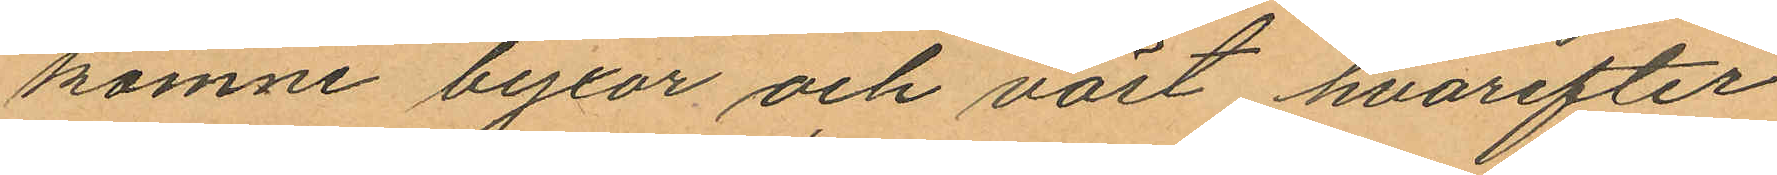komne byxor och väst hvarefter
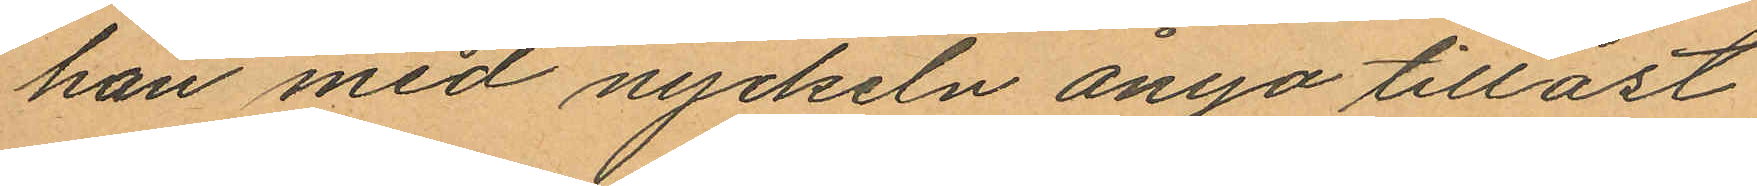han med nyckeln ånyo tillåst
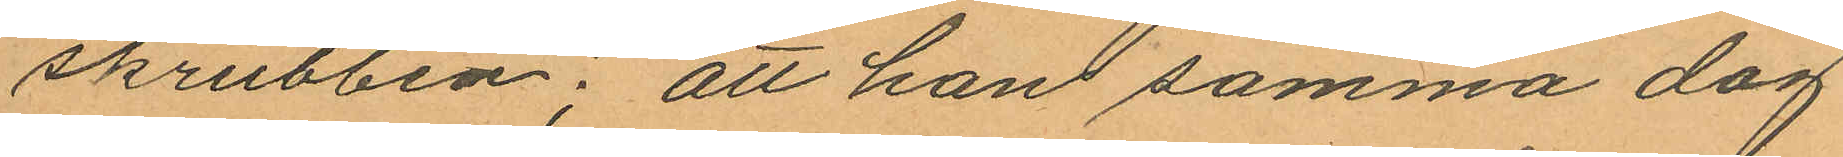skrubben; att han samma dag
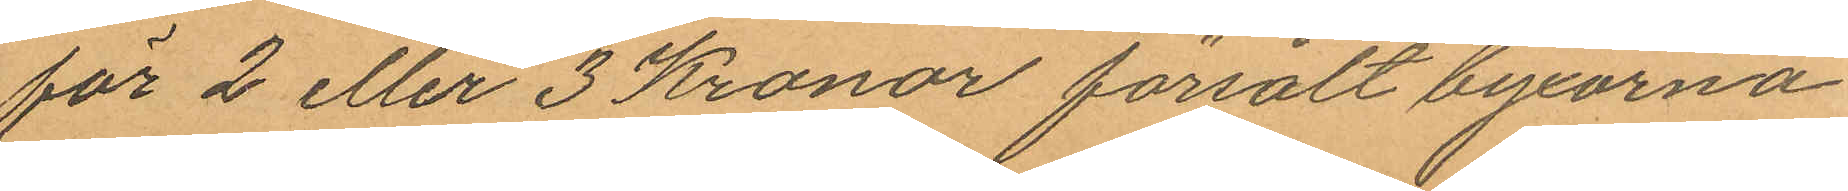för 2 eller 3 Kronor försålt byxorna
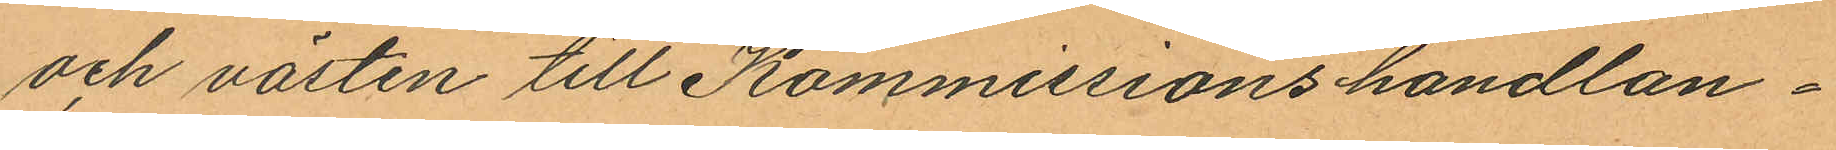och västen till Kommissionshandlan¬
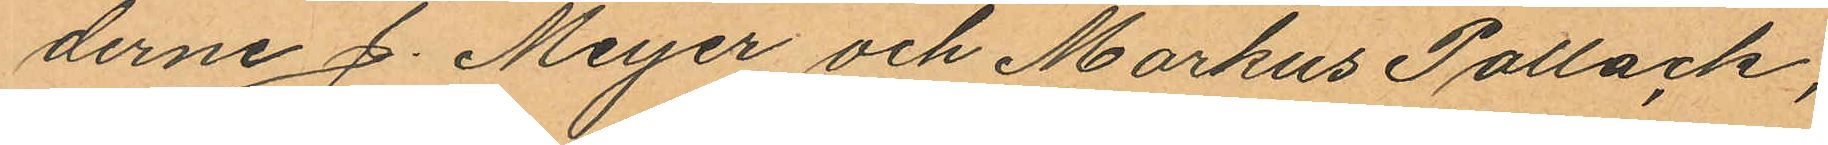derne J. Meyer och Markus Pollack,
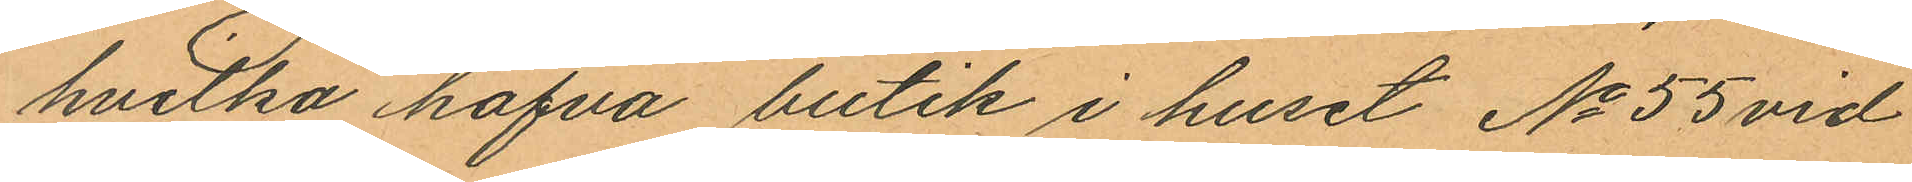hvilka hafva butik i huset No 55 vid
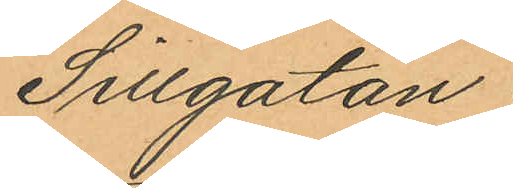Sillgatan;
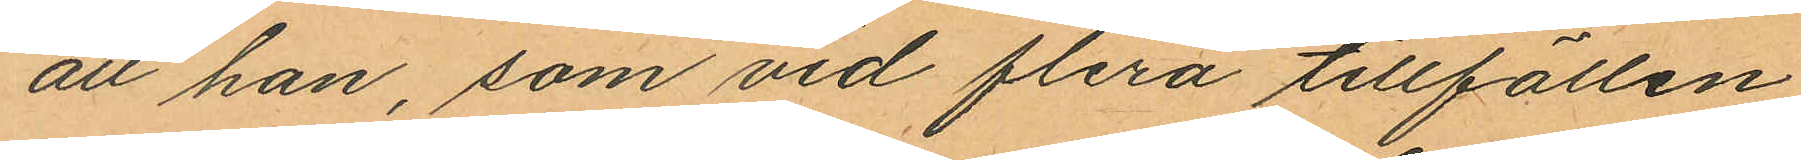att han, som vid flera tillfällen
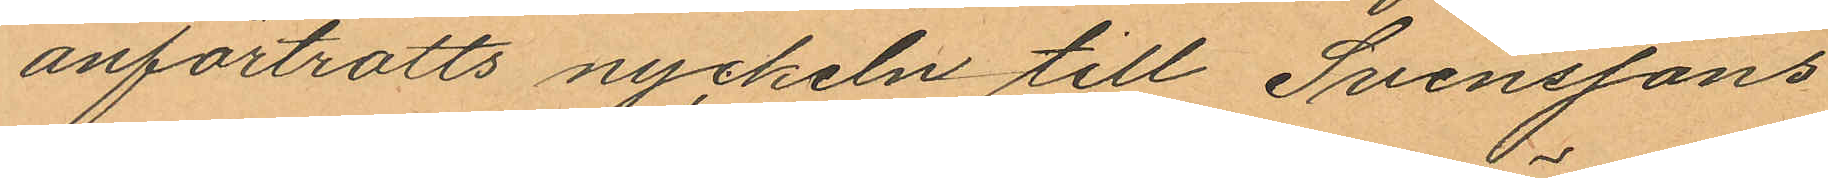anförtrotts nyckeln till Svenssons
